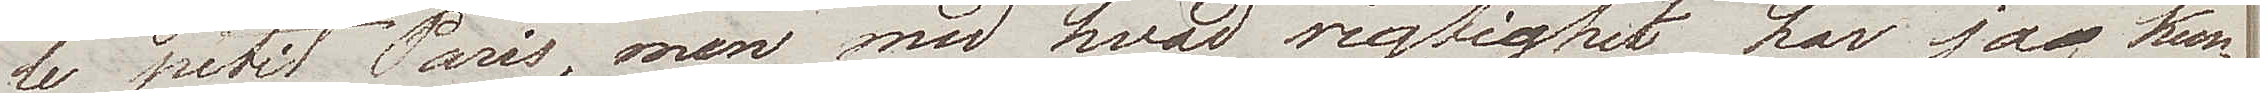le petit Paris, men med hvad rigtighet har jag kun¬
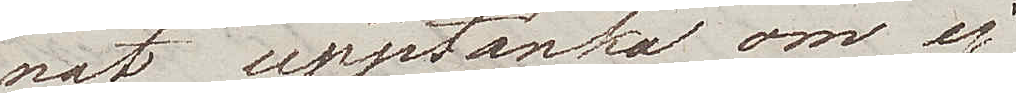nat upptänka om ej
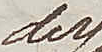der¬
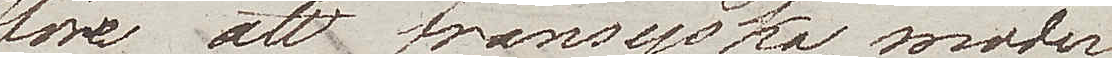före att fransyska moder 
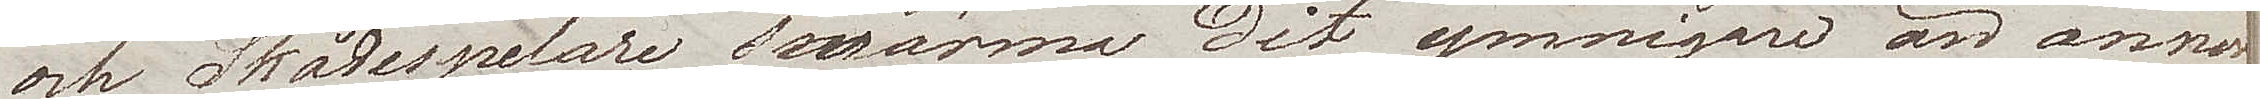och Skådespelare swärma dit ymnigare än annor¬
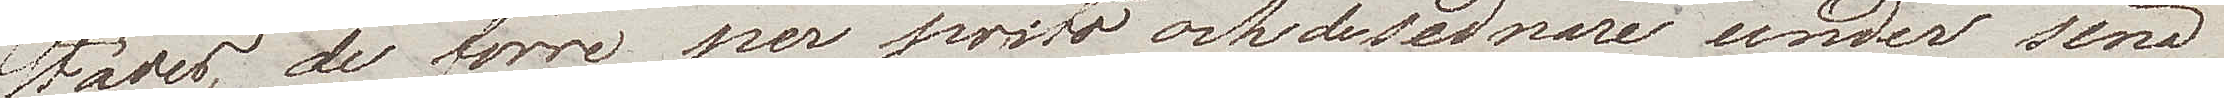städes, de förre per prsto och de sednare under sina
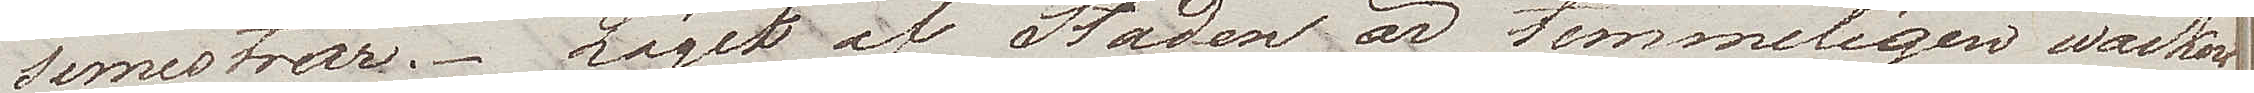semestrar. Läget af Staden är temmeligen wackert
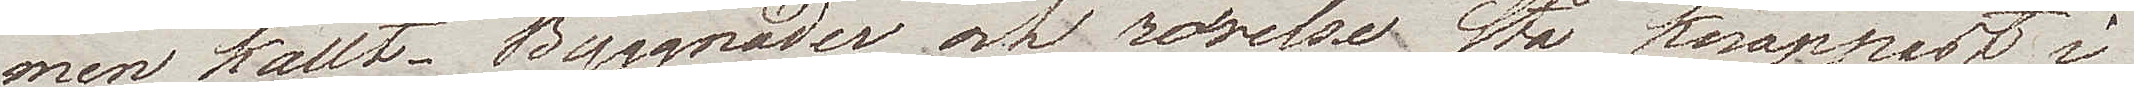men kallt. Byggnader och rörelse stå knappast i 
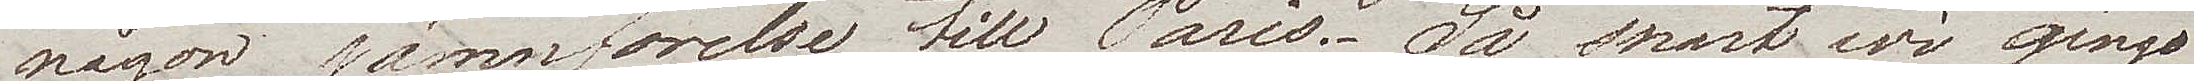någon jämnförelse till Paris. Så snart wi gingo
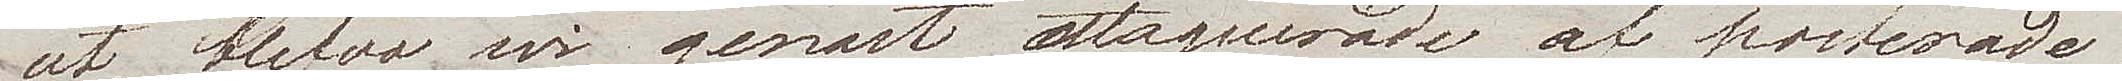ut, blefvo vi genast attaquerade af posterade
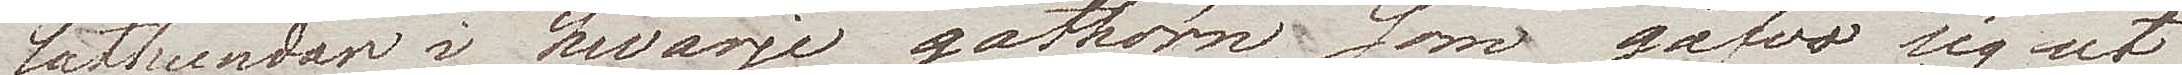lathundar i hvarje gathörn, som gåfvo sig ut
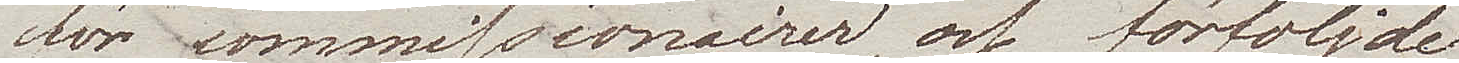för commissionairer och förföljde  
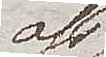oss
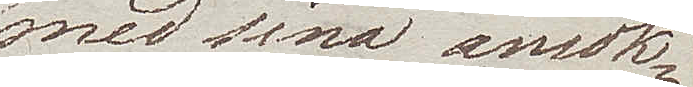med sina ansök¬
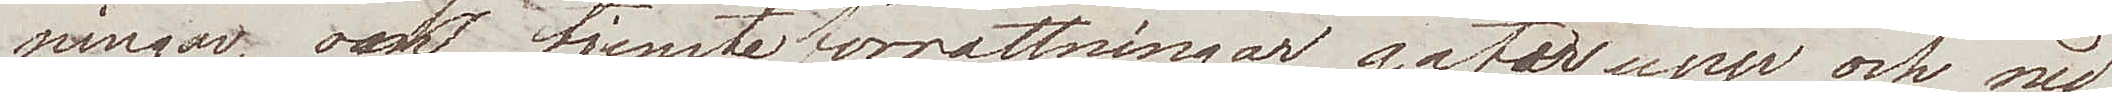ningar, om tjensteförrättningar gata upp och ned
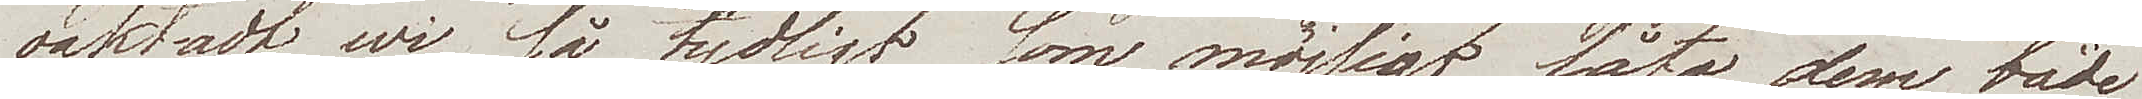oaktadt wi så tydligt som möjligt låta dem, både
